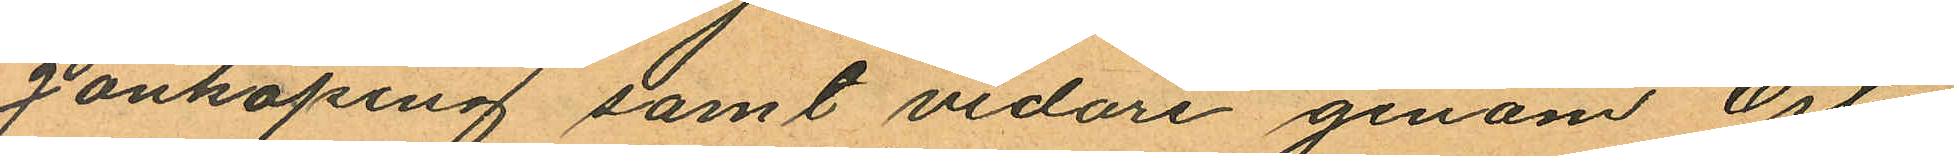Jönköping samt vidare genom Öster
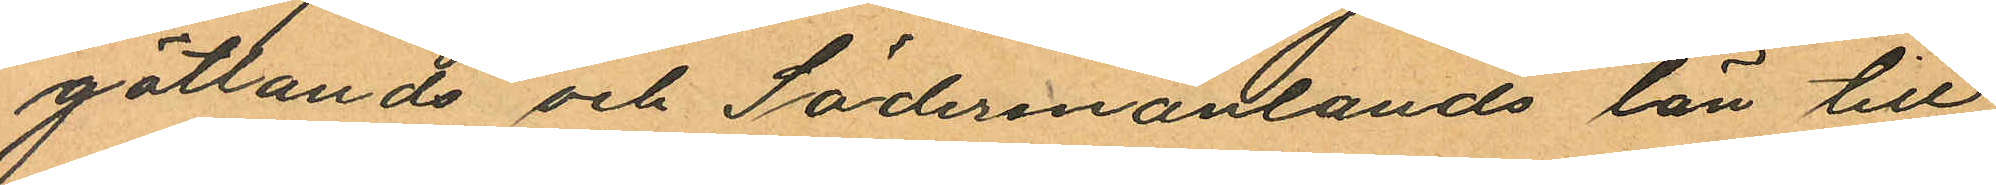götlands och Södermanlands län till
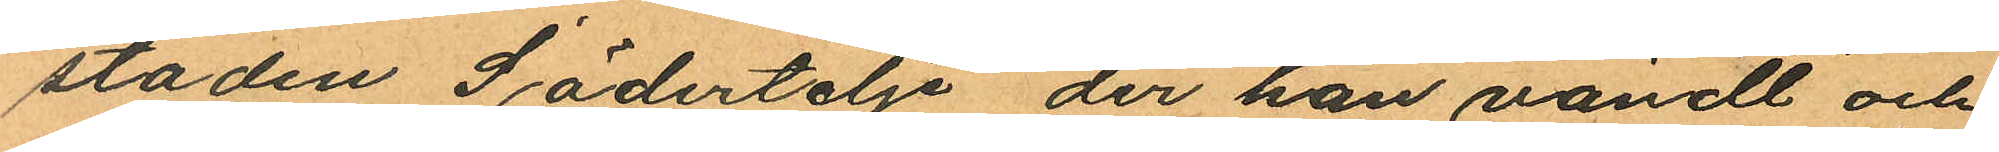staden Södertelje, der han vändt och
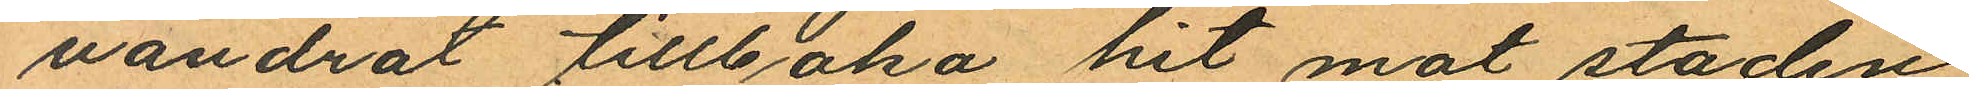vandrat tillbaka hit mot staden
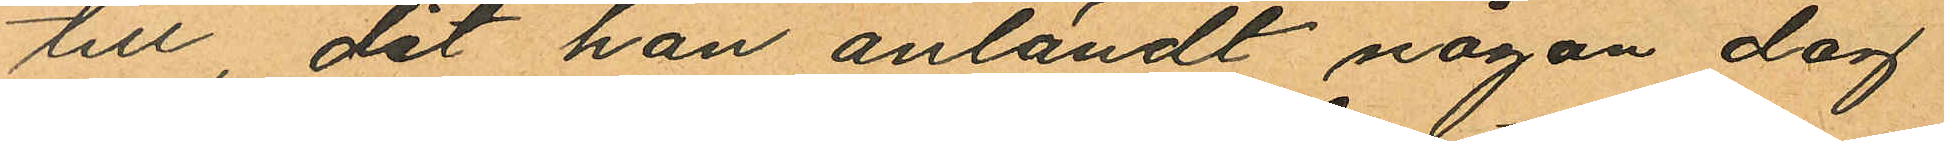till, dit han anländt någon dag
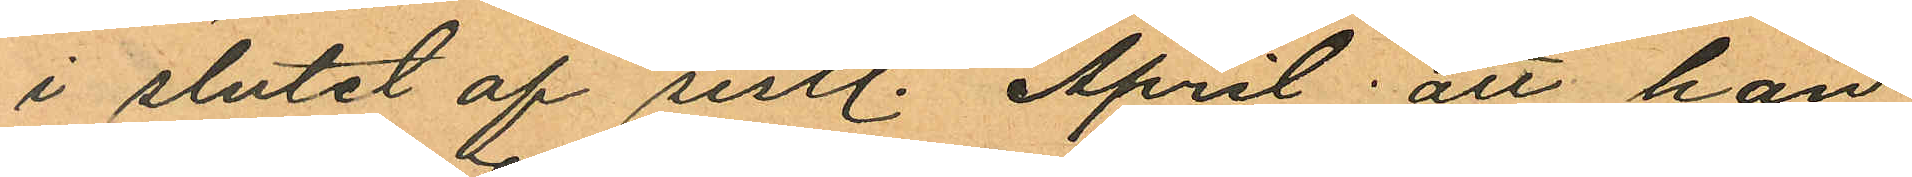i slutet af sistl. April; att han
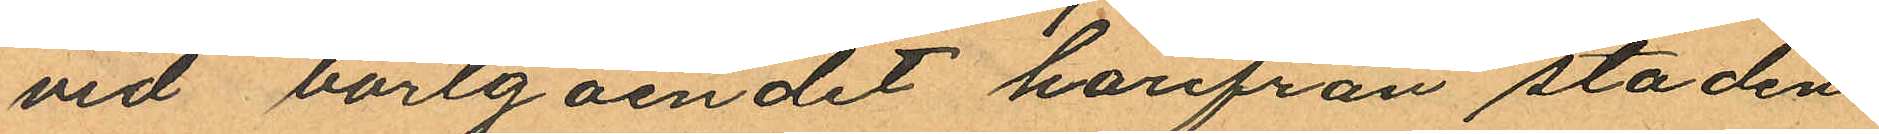vid bortgåendet härifrån staden
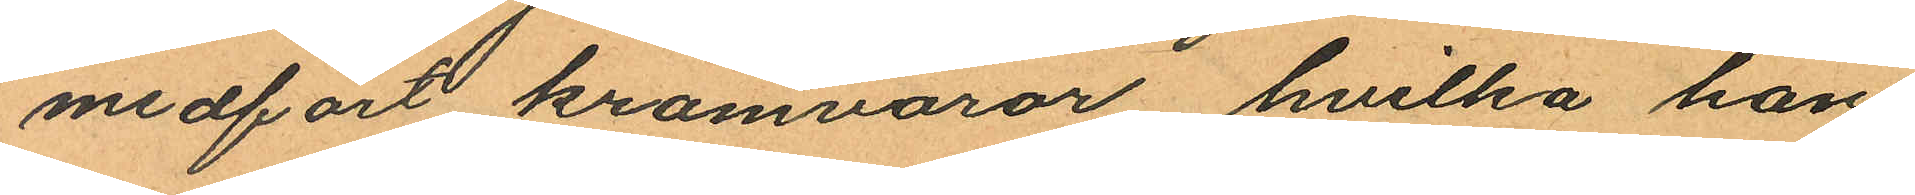medfört kramvaror, hvilka han
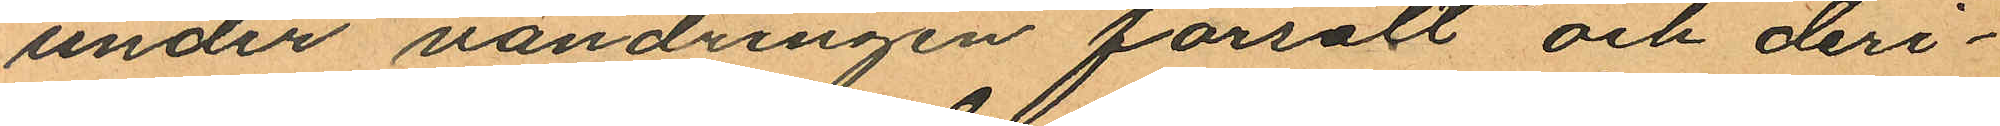under vandringen försålt och deri¬
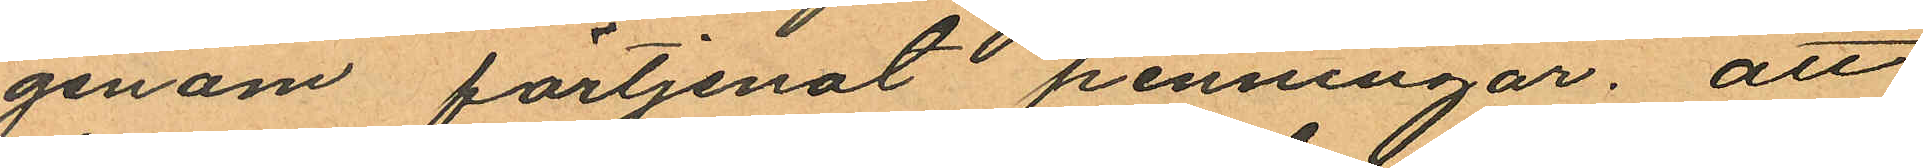genom fartjenat penningar; att
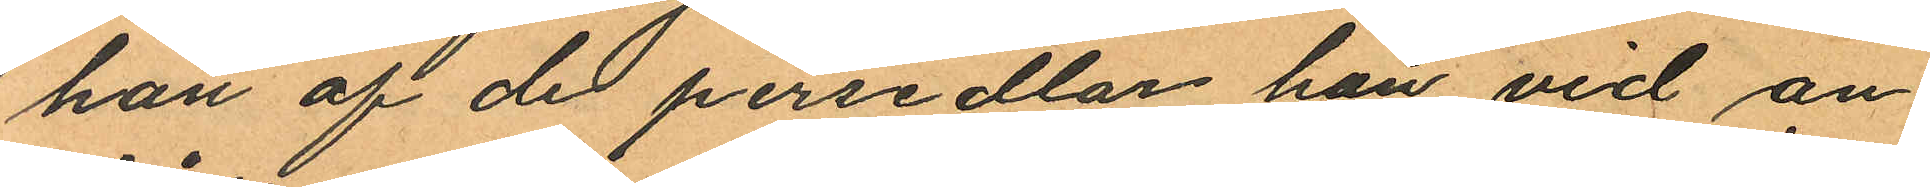han af de persedlar han vid an¬
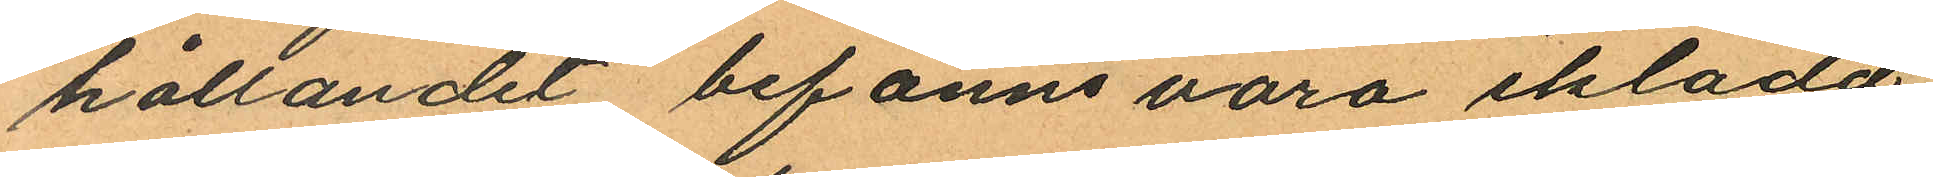hållandet befanns vara iklädd
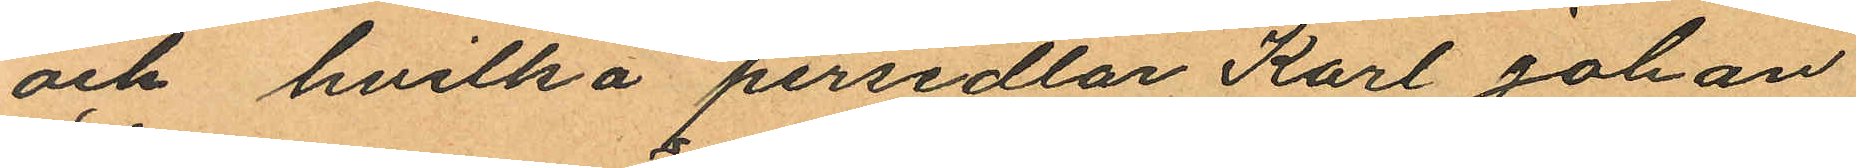och hvilka persedlar Karl Johan
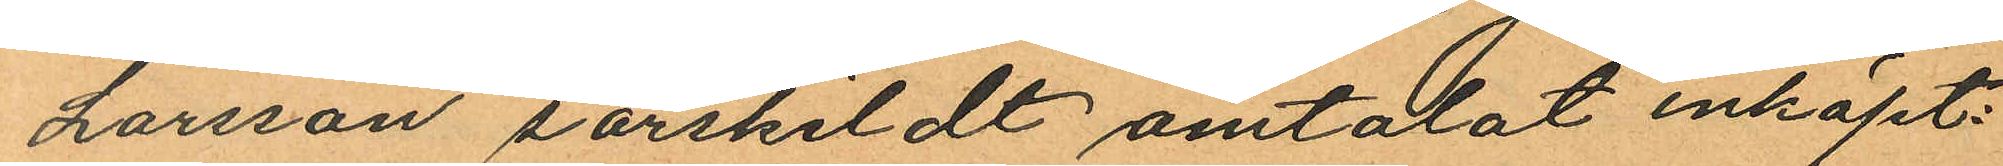Larsson särskildt omtalat inköpt:
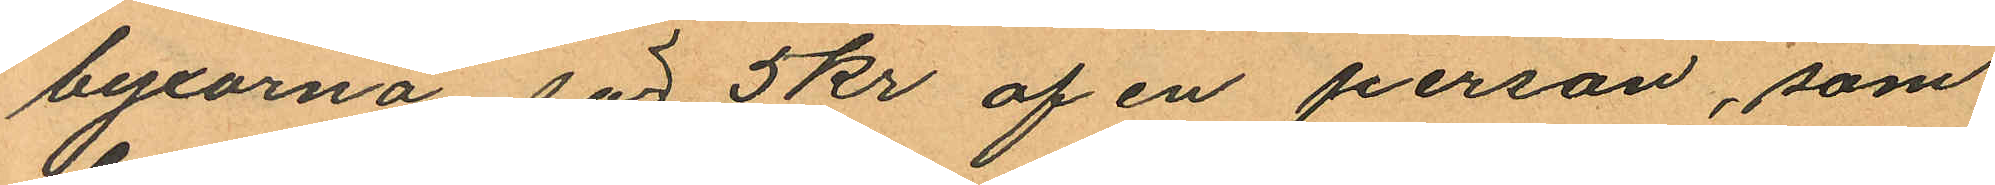byxorna för 5kr af en person, som
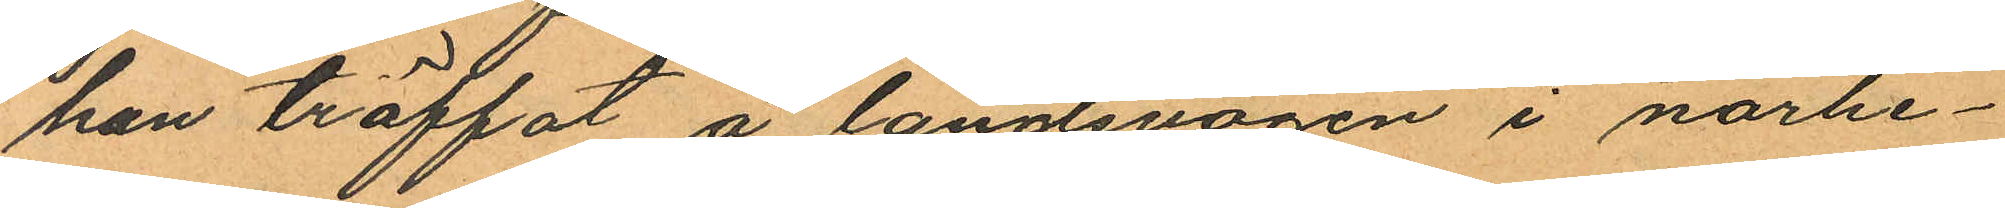han träffat å landsvägen i närhe¬
